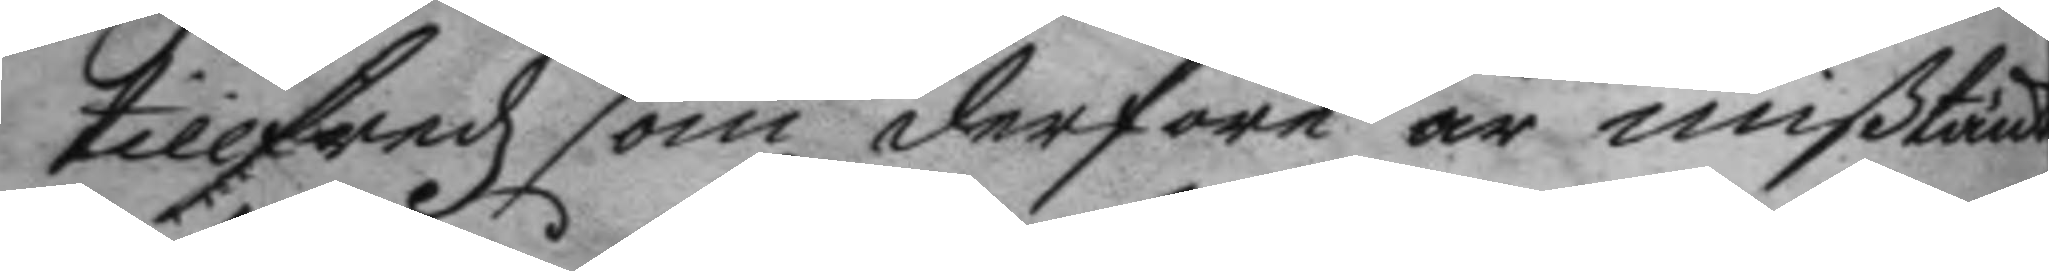tillfredz som derföre är mißtänk
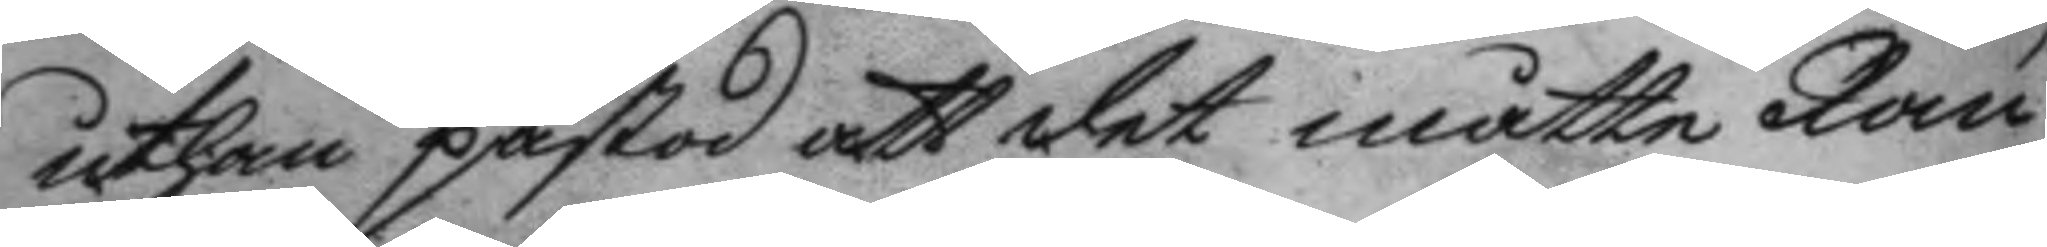uthan påstod att det måtte Ran¬
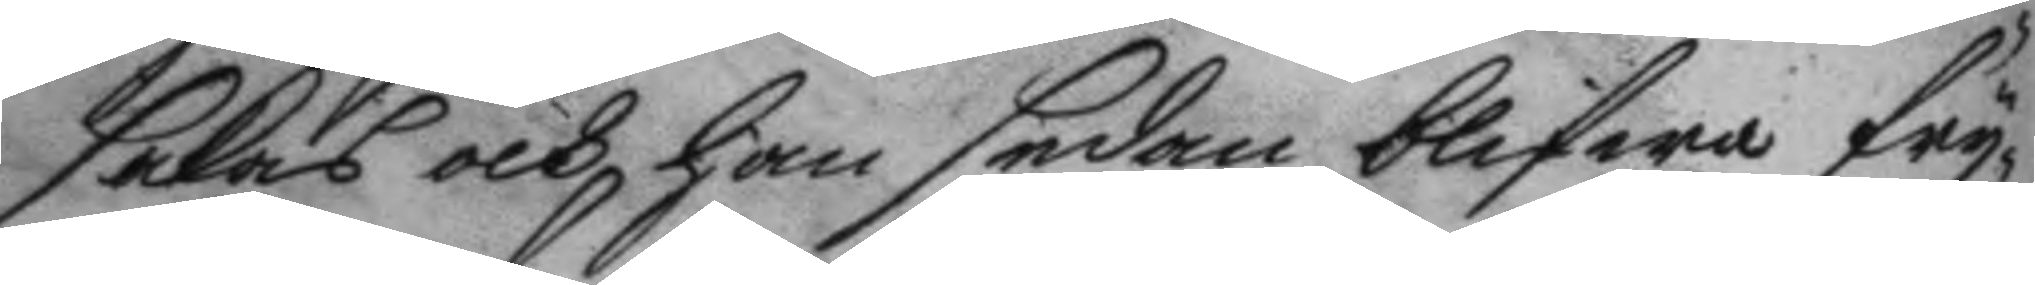sakas och han sedan blifwa fry¬
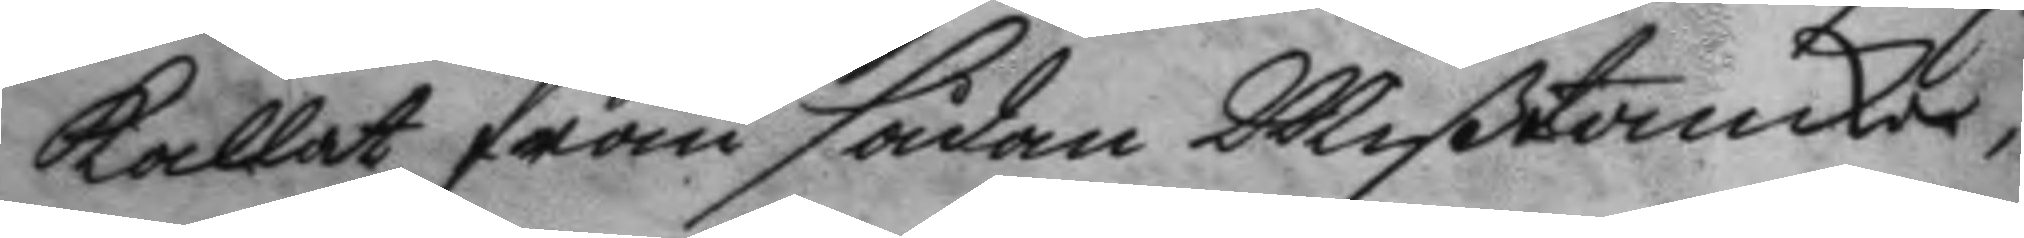kallat från sådan Mißtancker,
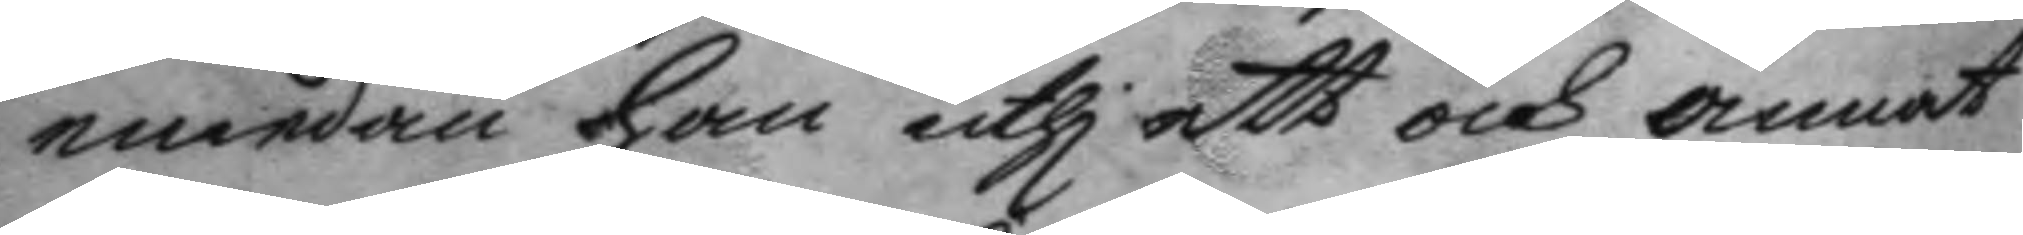emedan han uthi ett och annat
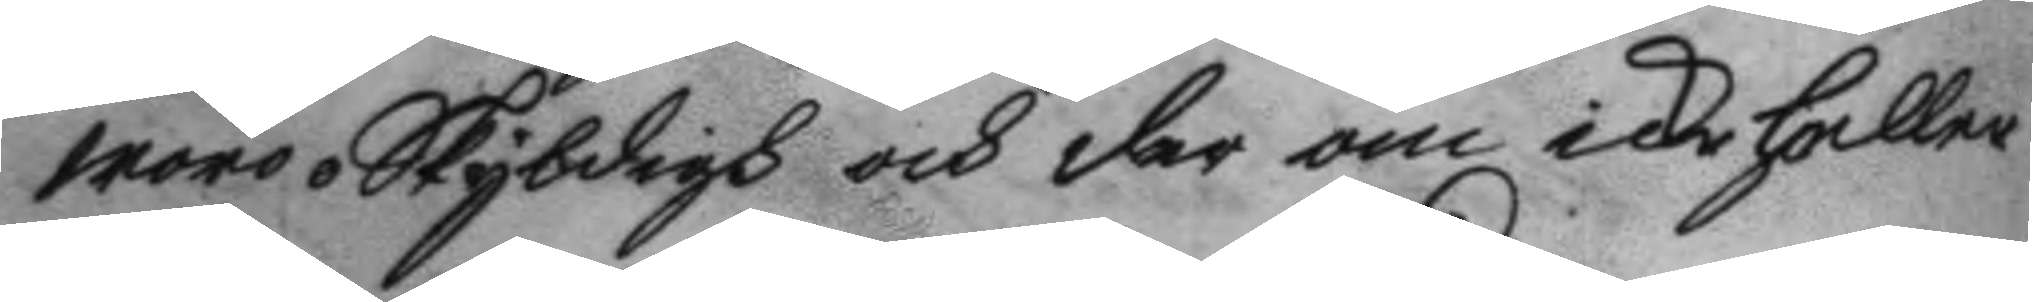woro oskyldigh och der om icke heller
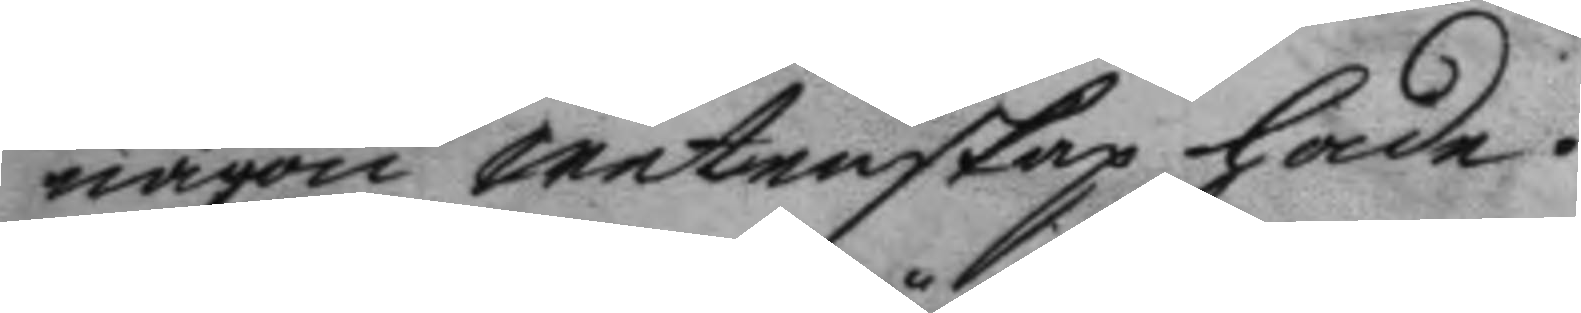någon wetenskap hade.
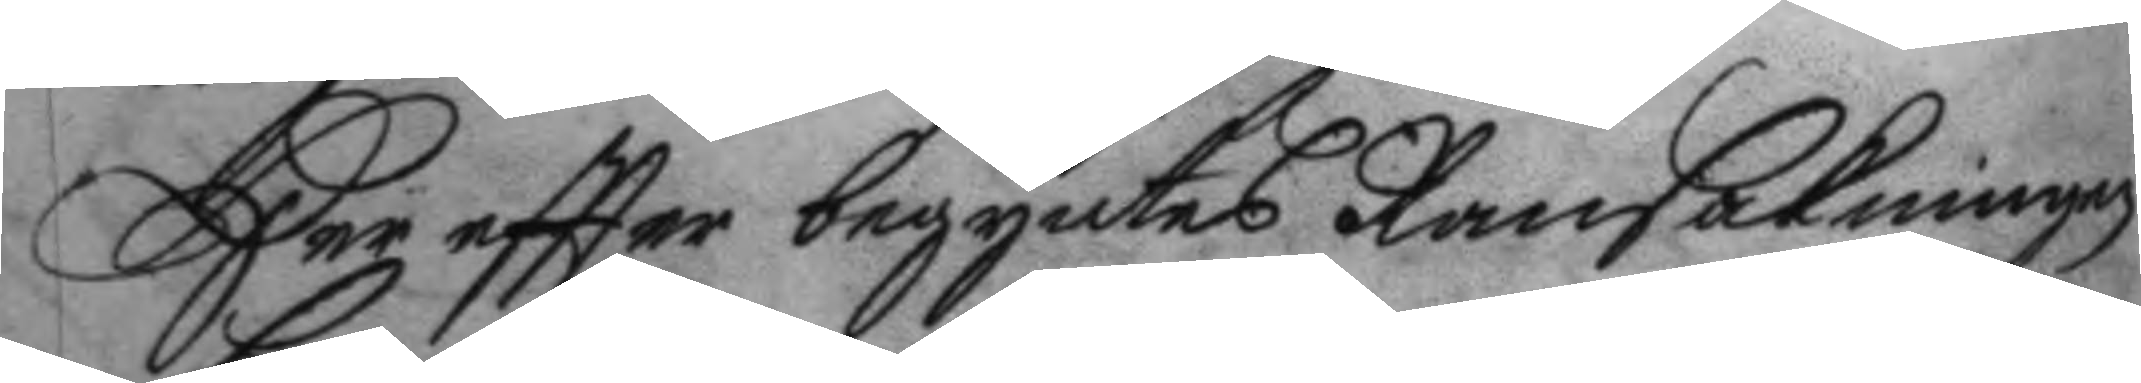Her eftter begyntes Ransakningen
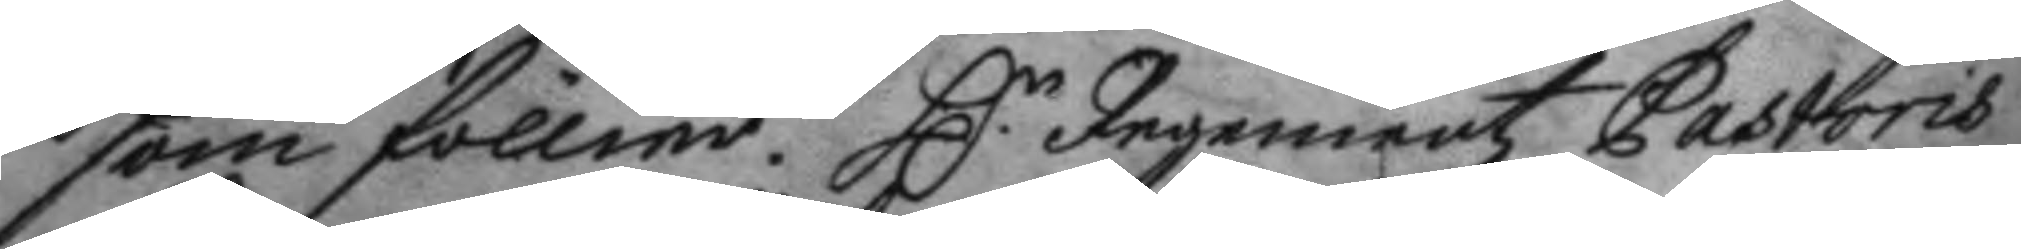som föllier, H.r Ingementz Pastoris
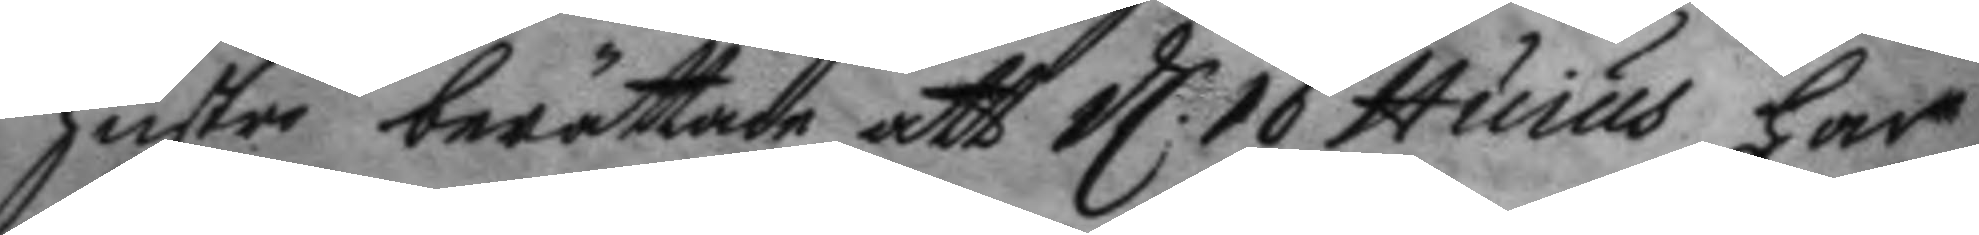hustru berättade att d. 16 Huius har
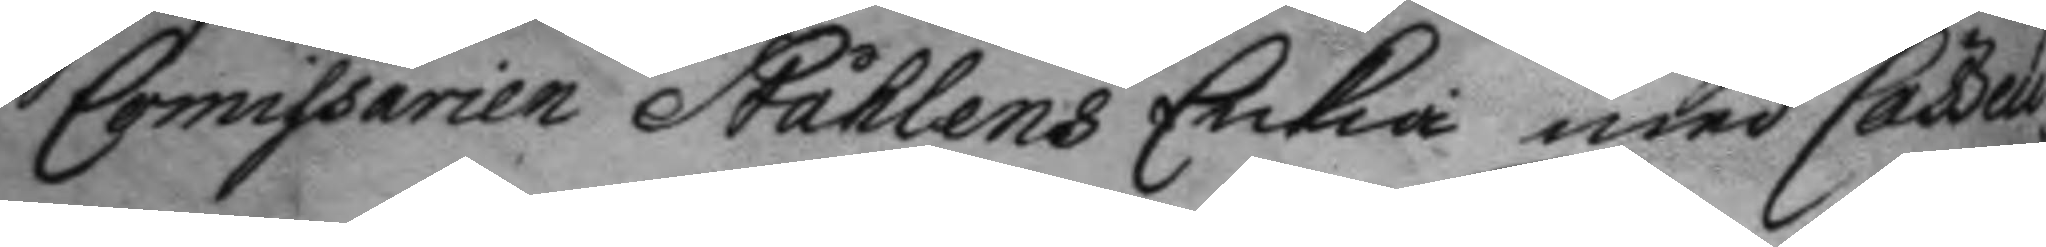Commissarien Ståhlens Enkia med Casö¬
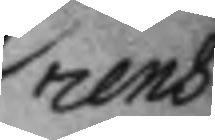rens
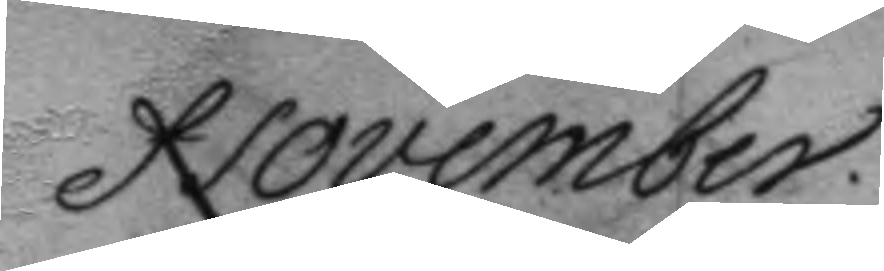November.
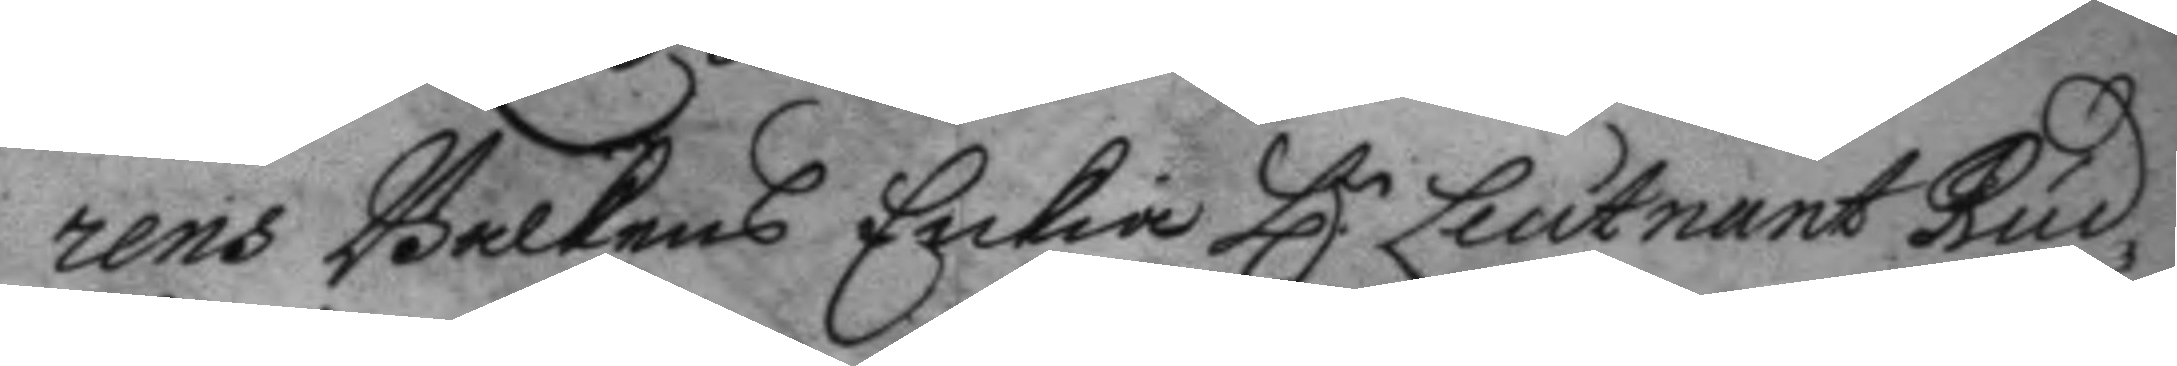rens Balkens Enkia H.r Leutnant Rud¬
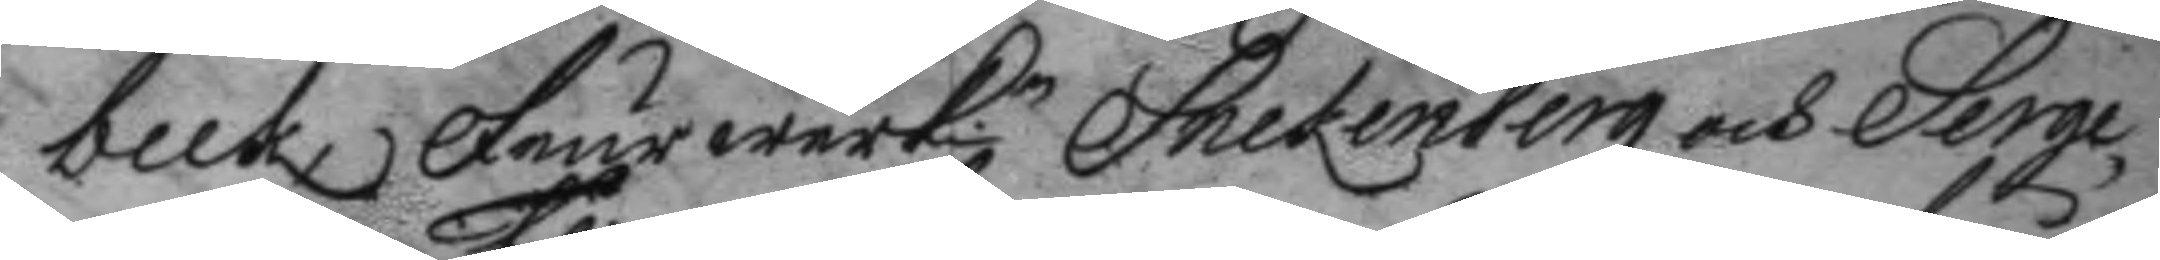beck, Feurwerk.n Snekenberg och Serge¬
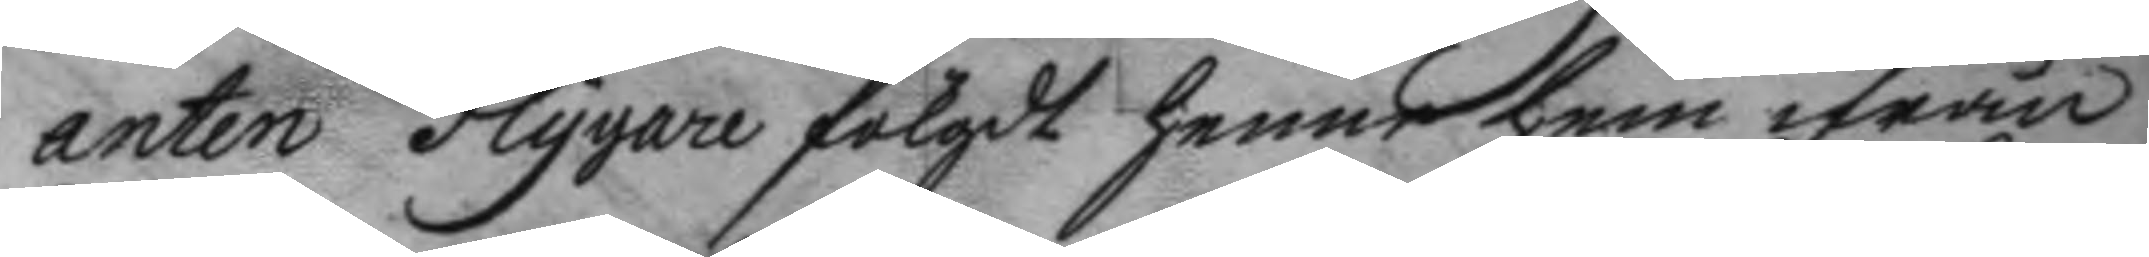anten Flygare fölgdt henne hem ifrån
